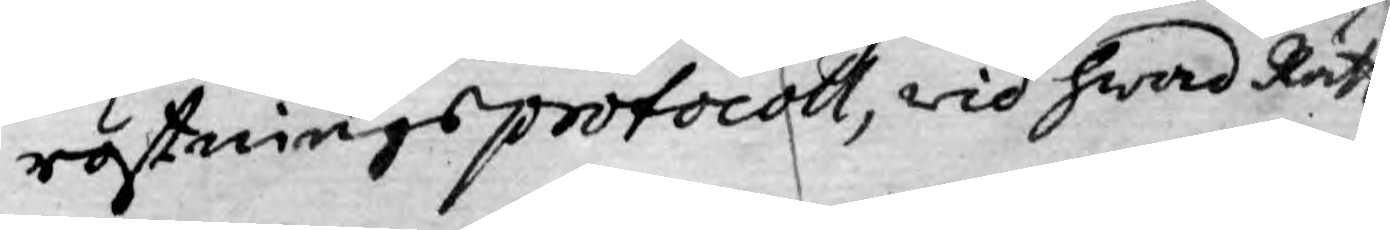röstnings protocoll, wid hwad Rätt
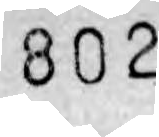802
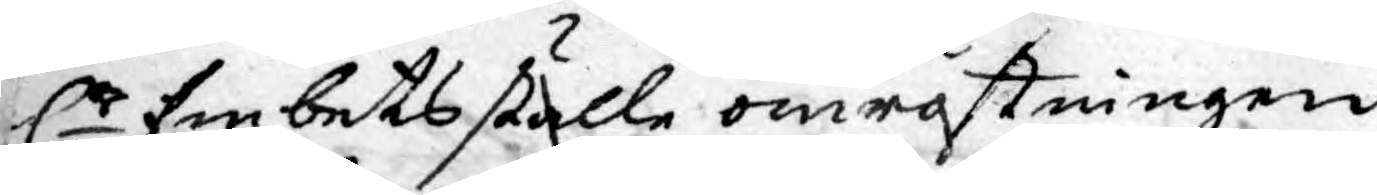Er Embetsställe omröstningen
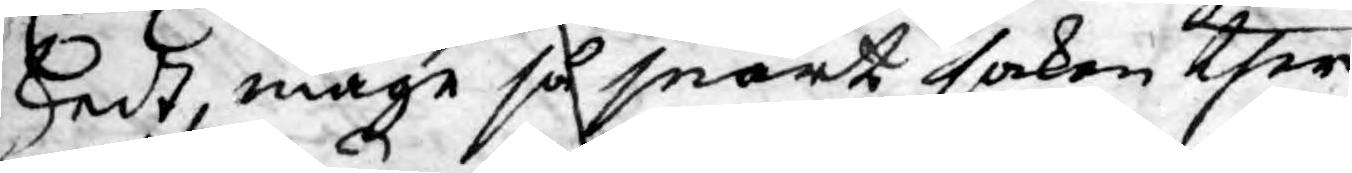skedt, måge så snart saken ther¬
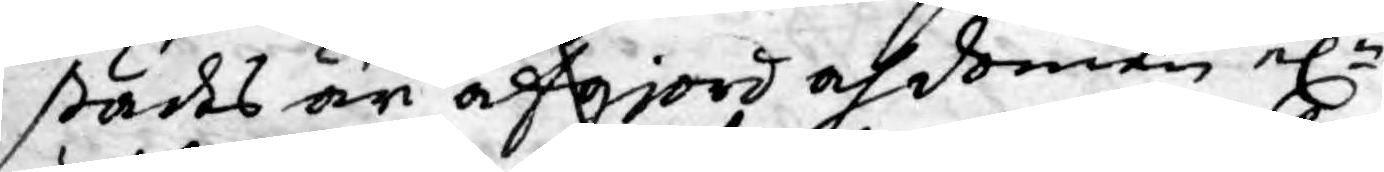städes är afgjord och domen elr
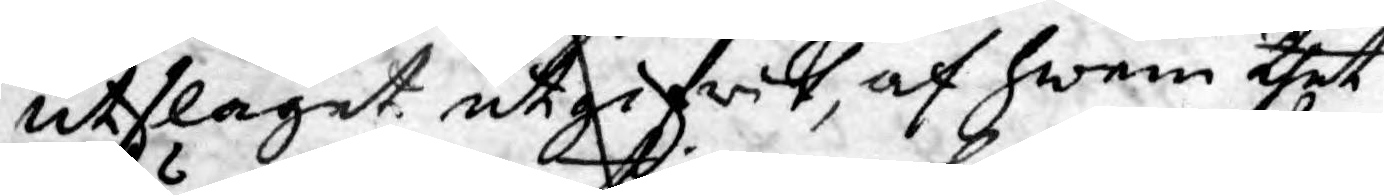utslaget utgifwit, af hwem thet
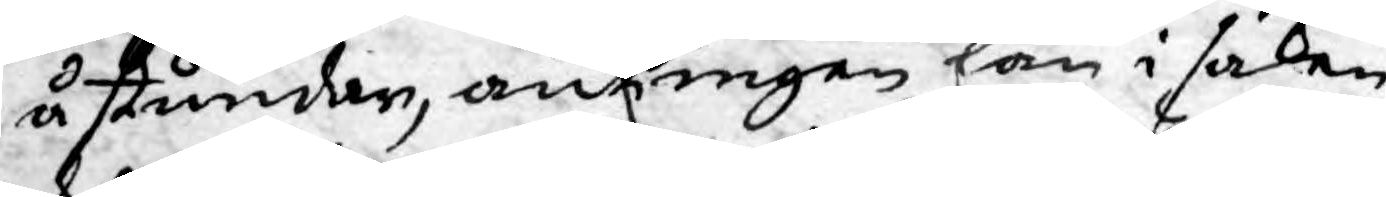åstundar, antingen han i saken
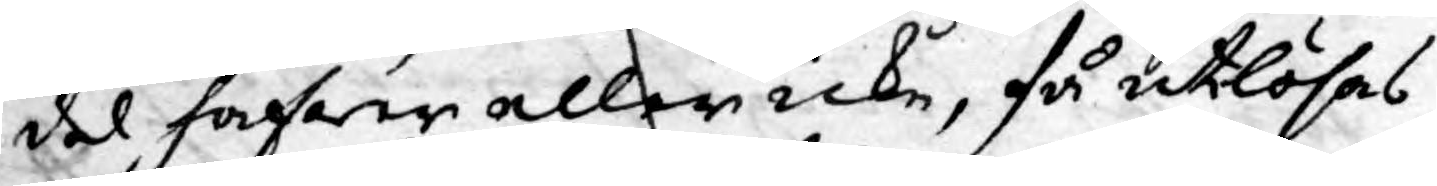del hafwer eller icke, få utlösas
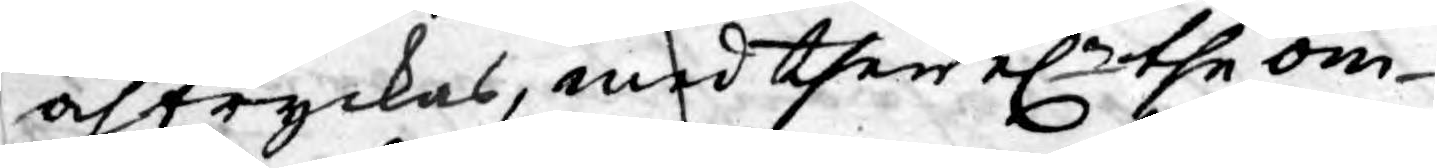och tryckas, med then elr the om¬
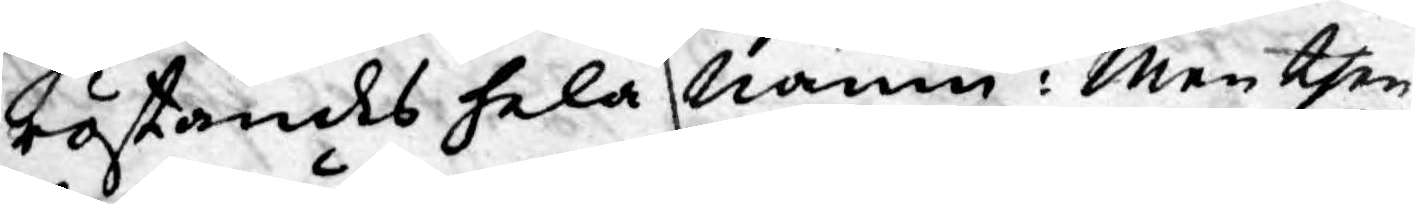röstandes hela namn: Men then
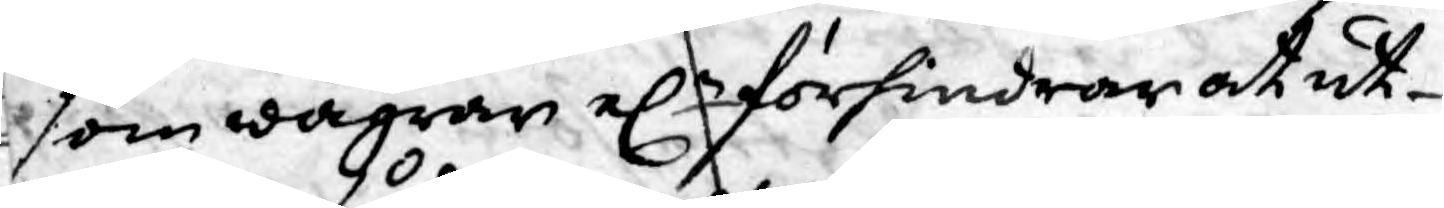som wägrar elr förhindrar at ut¬
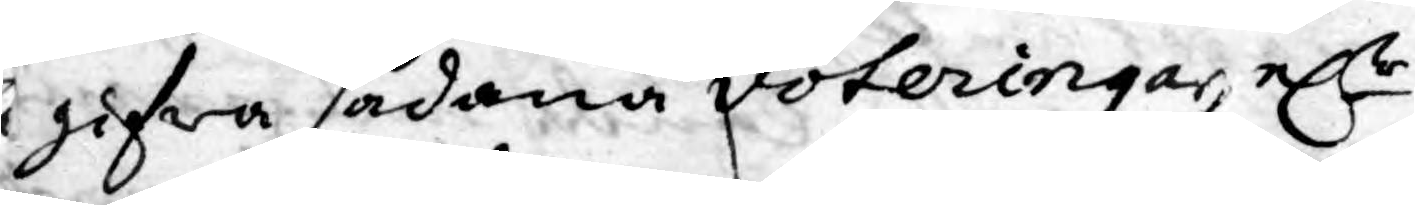gifwa sådana voteringar, elr
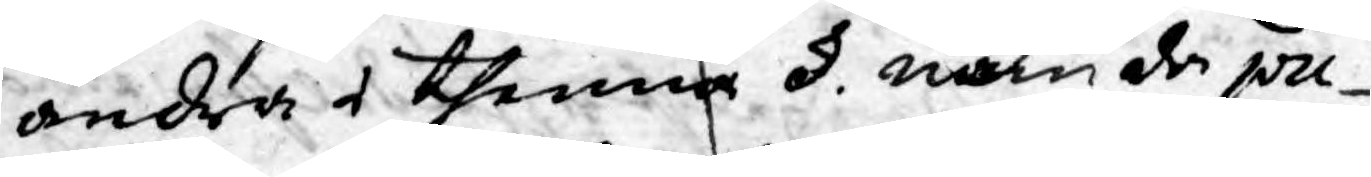andra i thenna §. nämda pu¬
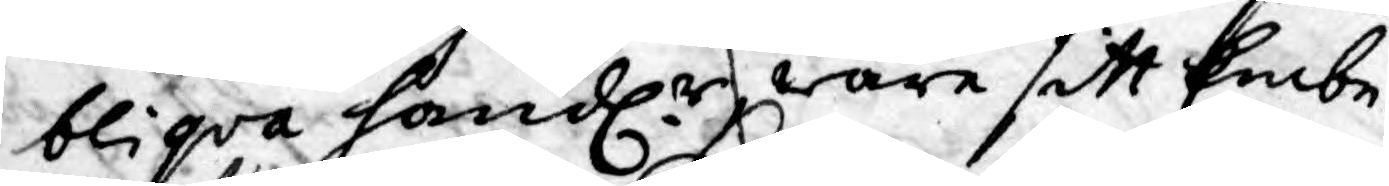bliqva handl.r ware sitt Embe¬
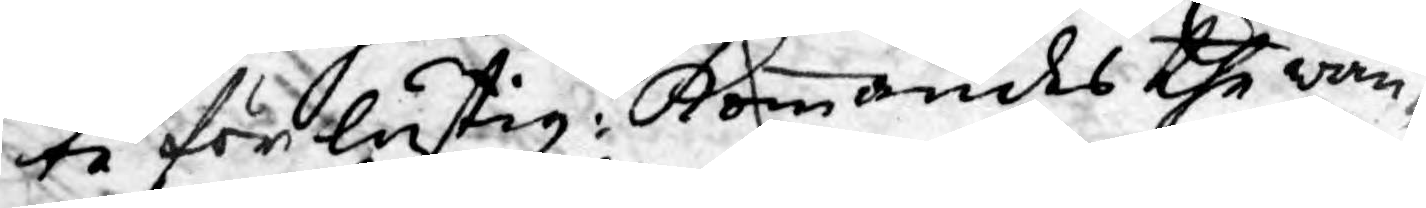te förlustig; Kommandes the wan¬
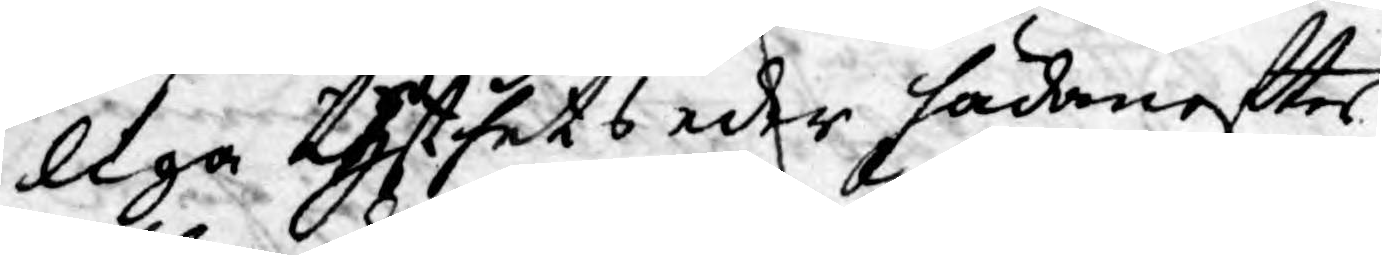liga tysthets eder hädanefter
